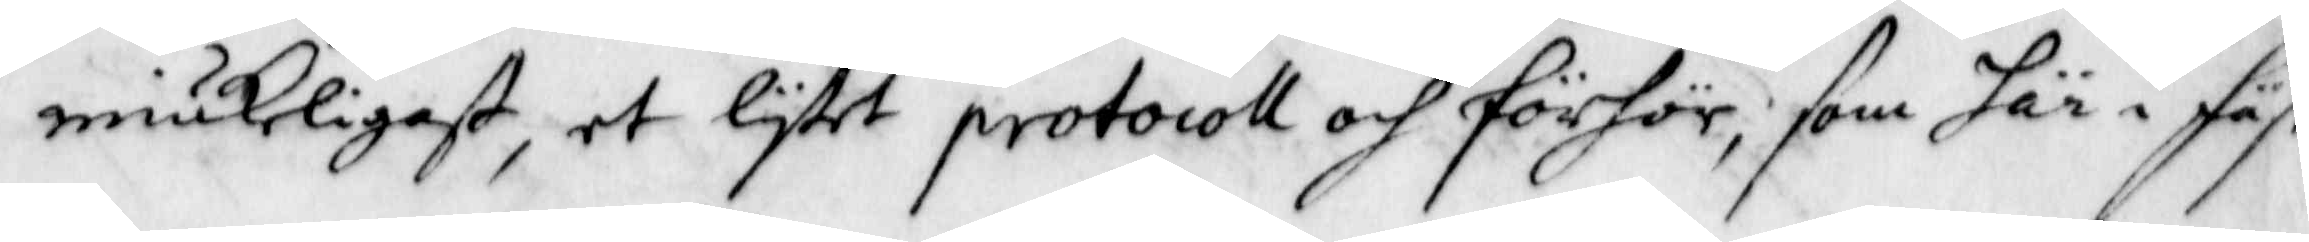miukeligest, et lytet protocoll och förhör, som i fäst
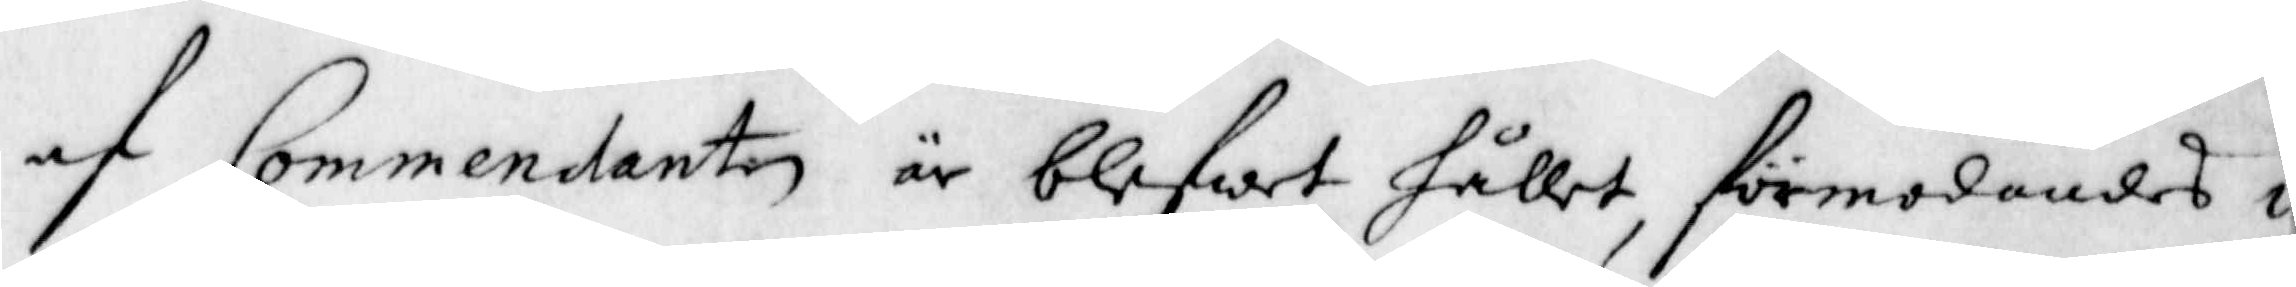af Commendanten är blefwet hållet, förmodandes i
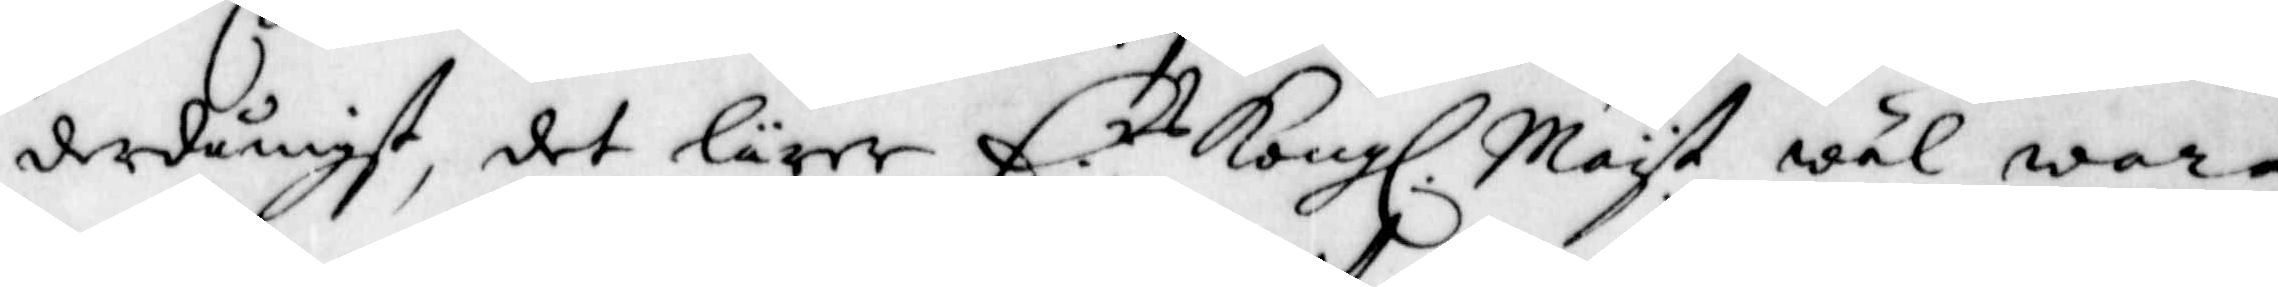derdånigst, det lärer E.rs Kongl. May.t wäl wara
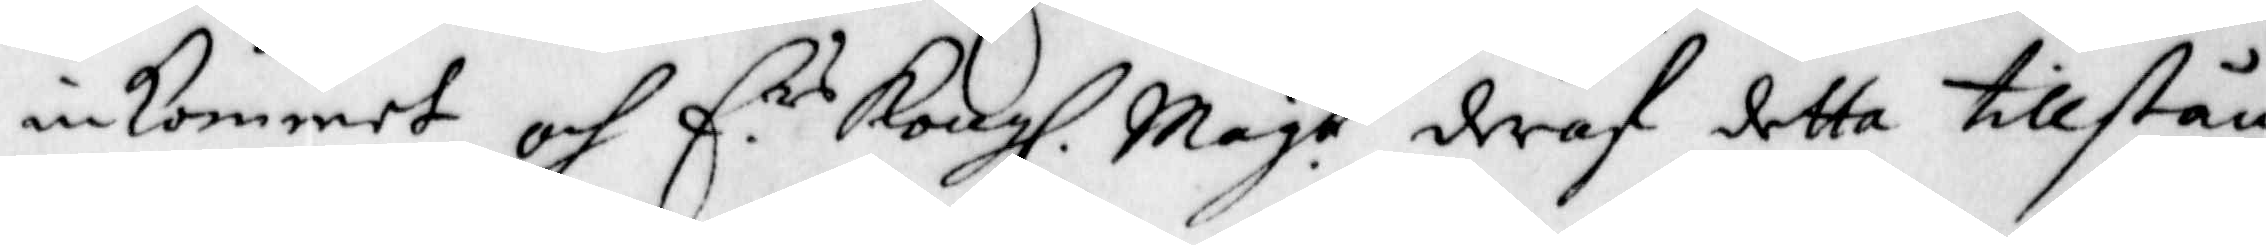inkommet, och E.rs Kongl. Mayt. deraf detta tillstån
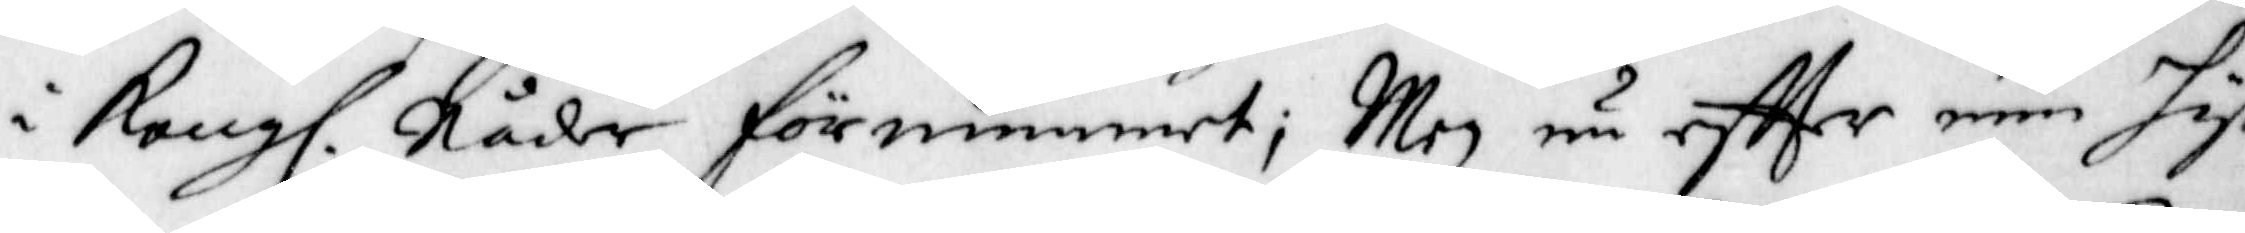i Kongl. Nåder förnimmet; Men nu eftter min hyt¬
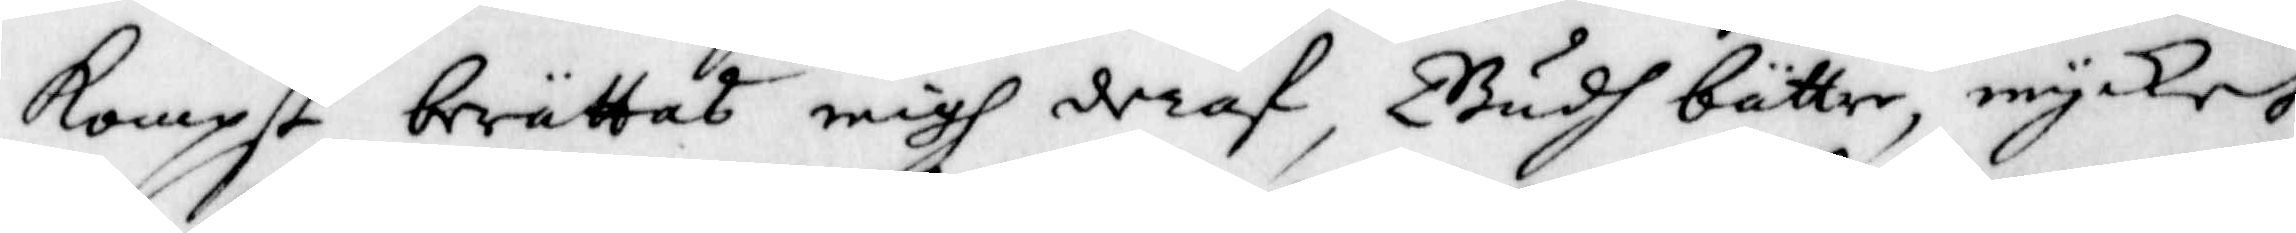kompst berättas migh deraf, Gudh bättre, mycker
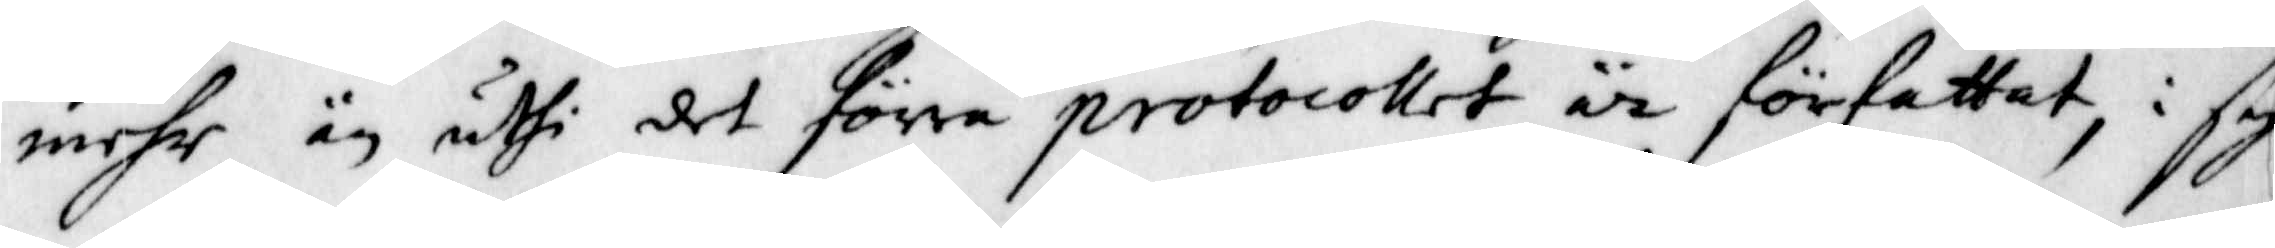mehr är uthi det förra protocollet är författat, i sig
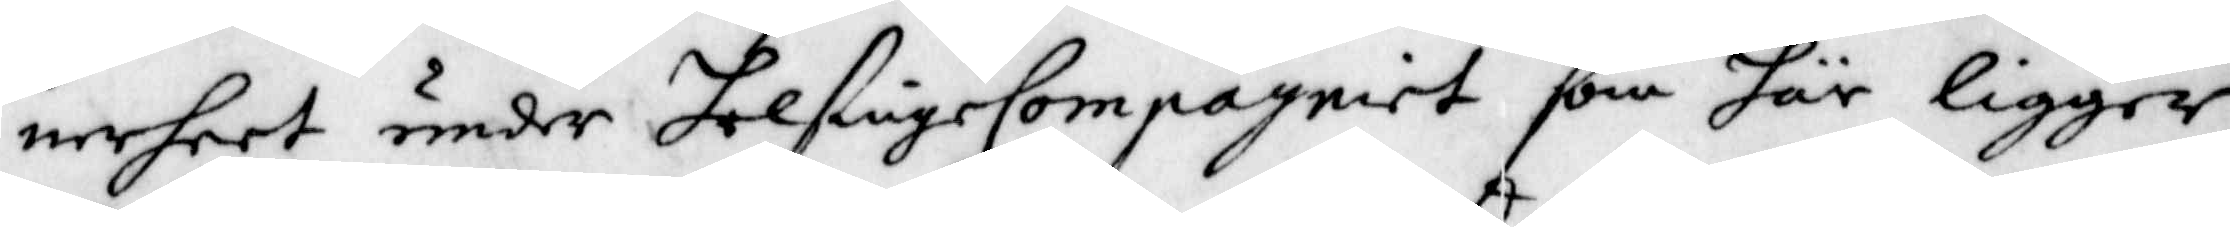nerheet under helsingeCompagniet som här ligger,
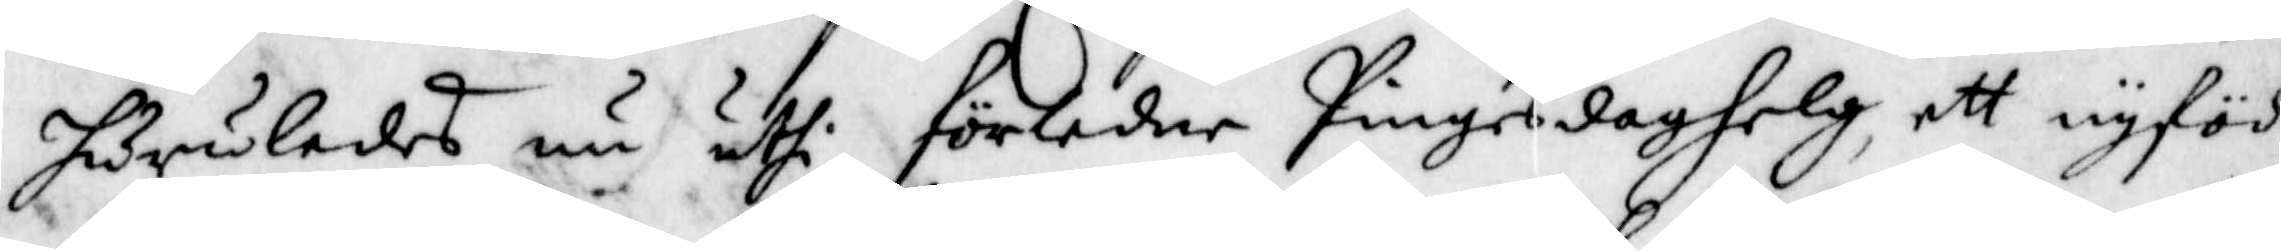huruledes nu uthi förledne Pingesdaghelg, ett nyfödd
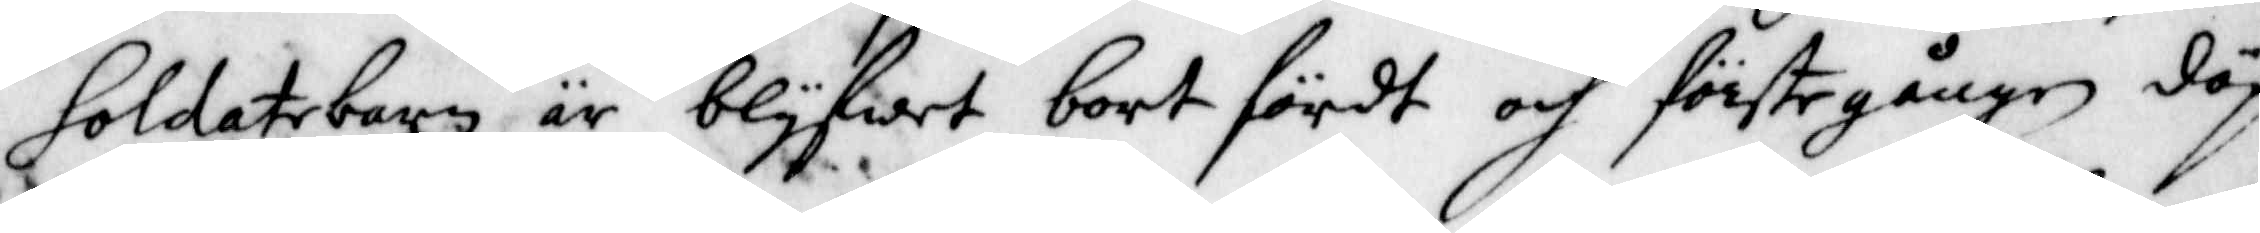Soldatbarn är nlyfwet bortfördt och förste gången döp
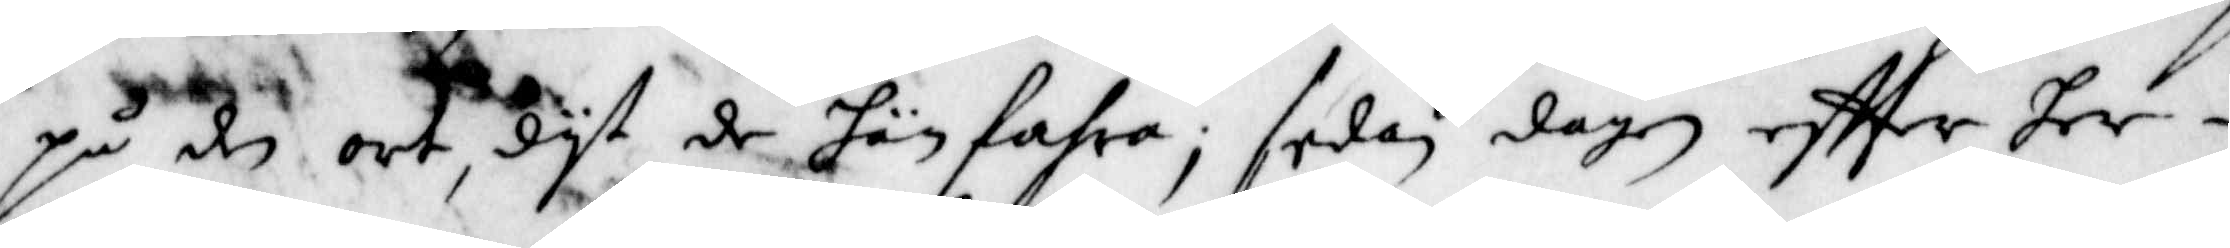på den ort, dyt de hän fahra, sedan dagen eftter her i
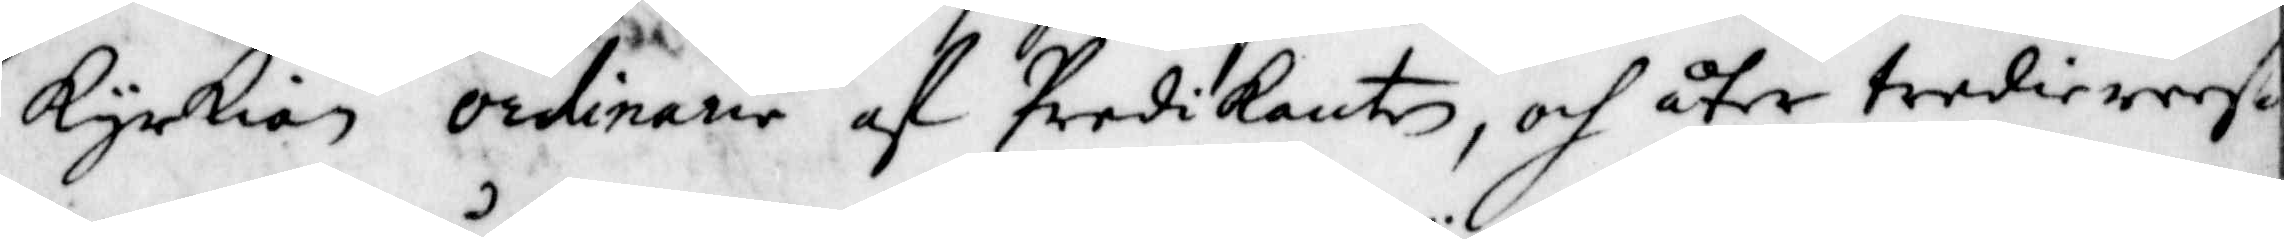kyrkian ordinarie af Predikanten, och åter tredie reesan
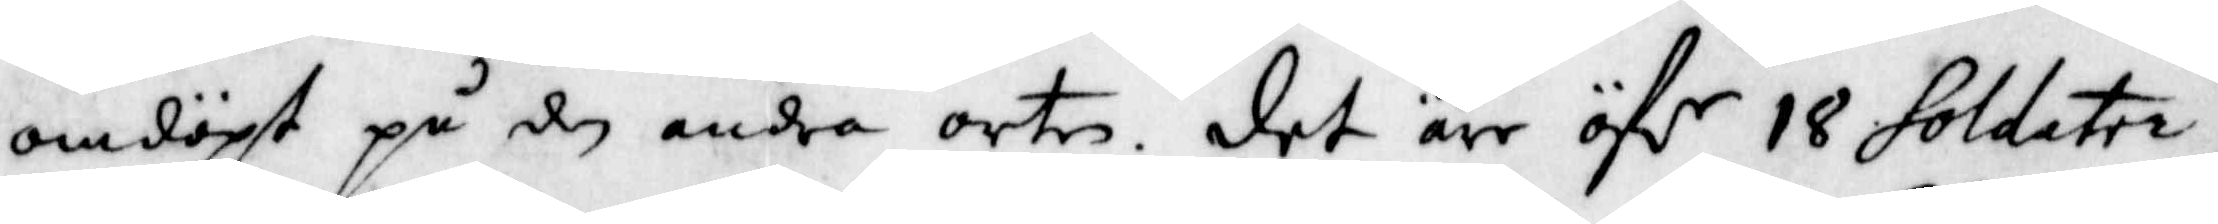omdöpt på den andra orten. det äre öfr 18 Soldater
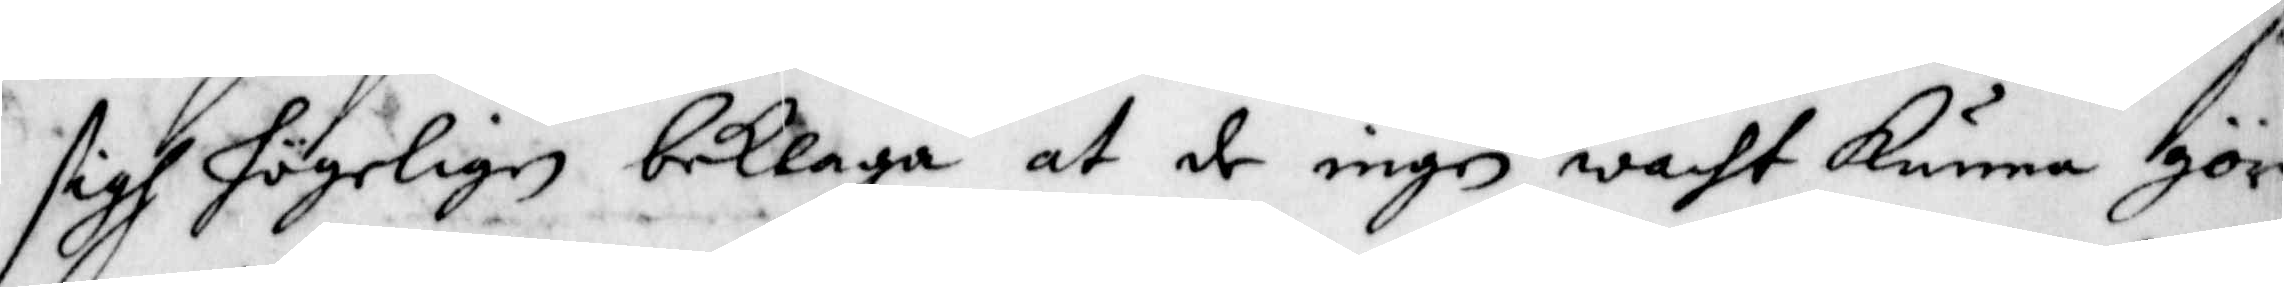sigh högeligen beklaga at de ingen wacht kunna gör
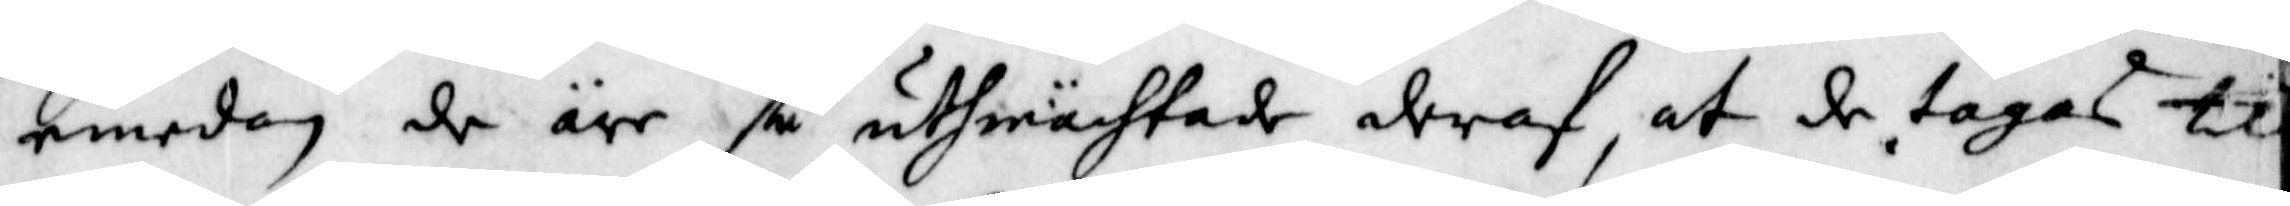emedan de are så uthmächtade deraf, at de tages til
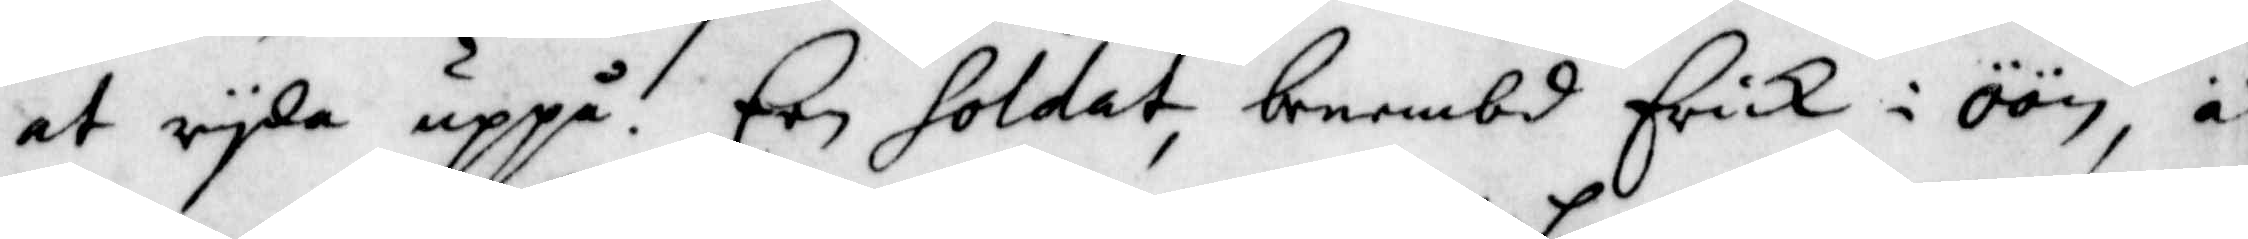at ryda uppå. Een Soldat benembd Erick i öön, är
